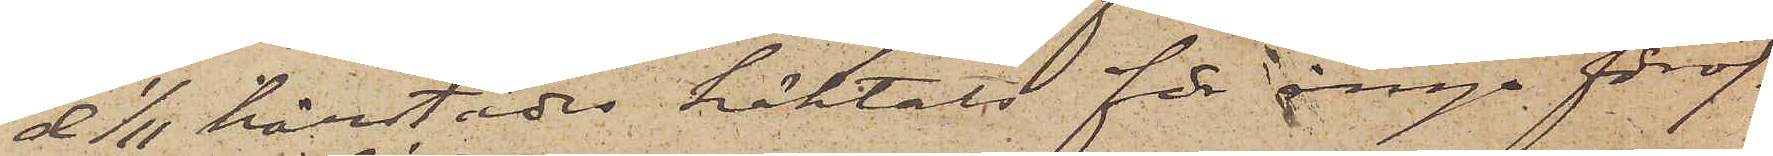d 1/11 härstädes häktats för ånyo föröf¬
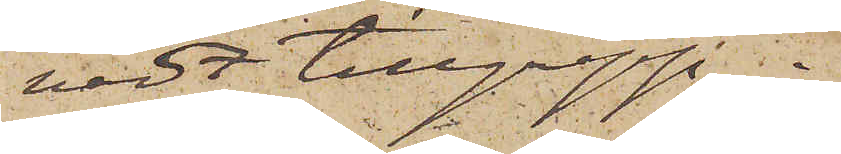vadt tillgrepp.
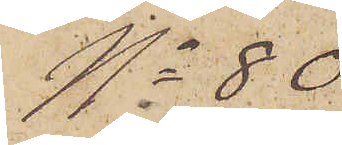No 80
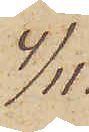4/11.
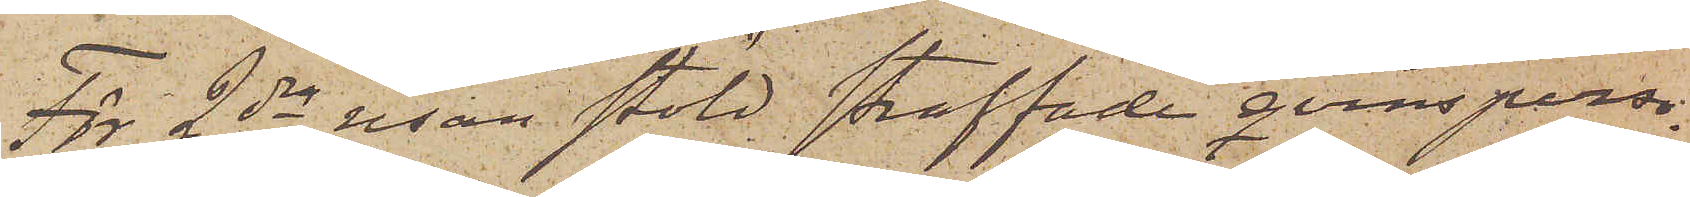För 2dra resan stöld straffade qvinsperso¬
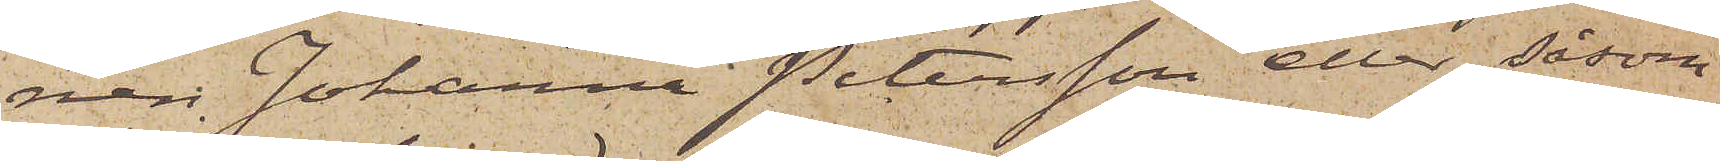nen Johanna Petersson eller, såsom
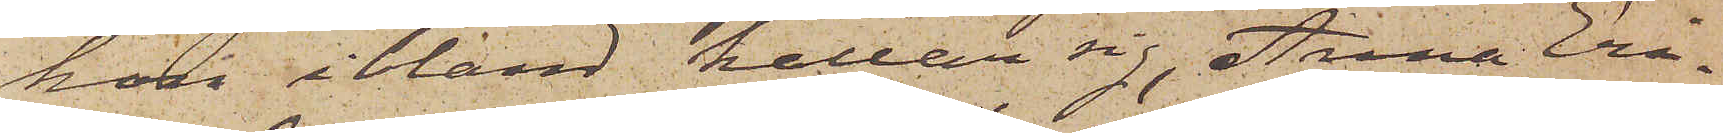hon ibland kallar sig, Anna Eri¬
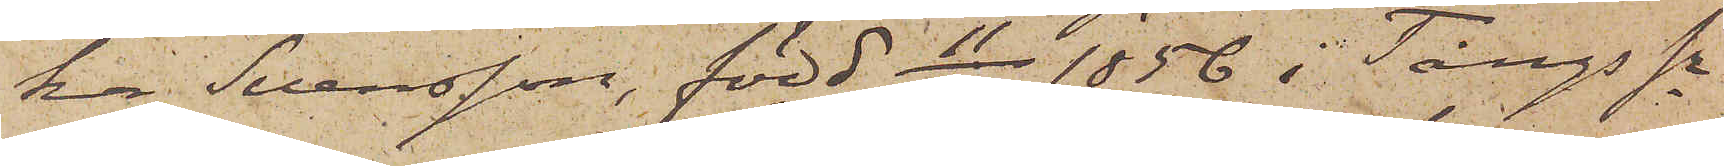ka Svensson, född 11/7 1856 i Tångs sn
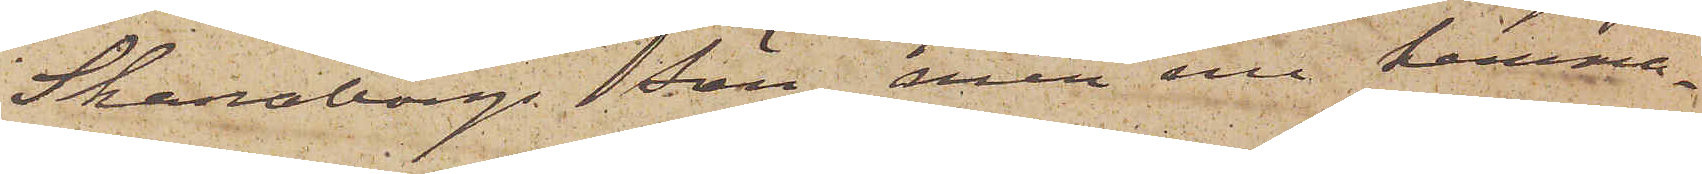Skaraborgs Län, men nu hemma¬
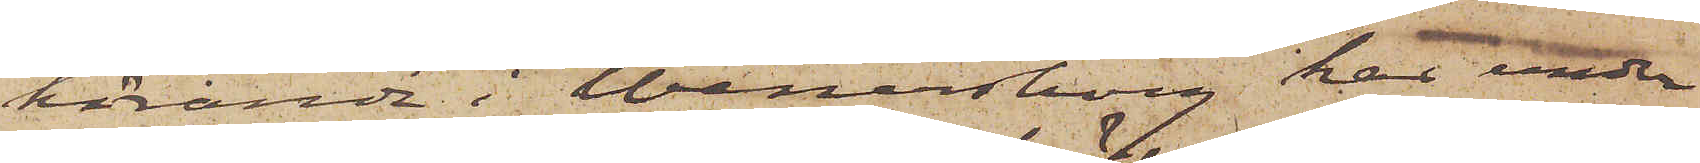hörande i Wenersborg har under
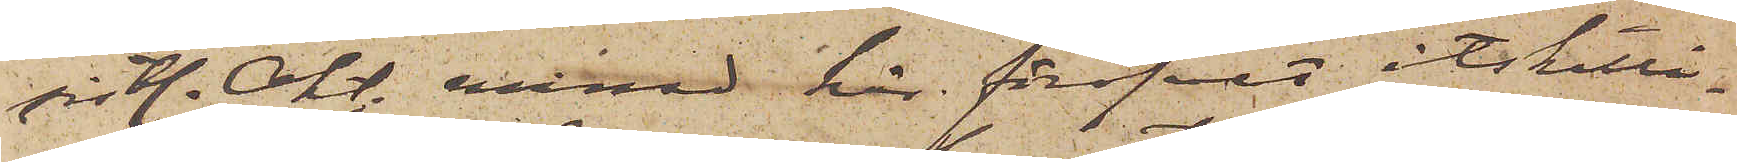sistl. Okt. månad här föröfvat åtskilli¬
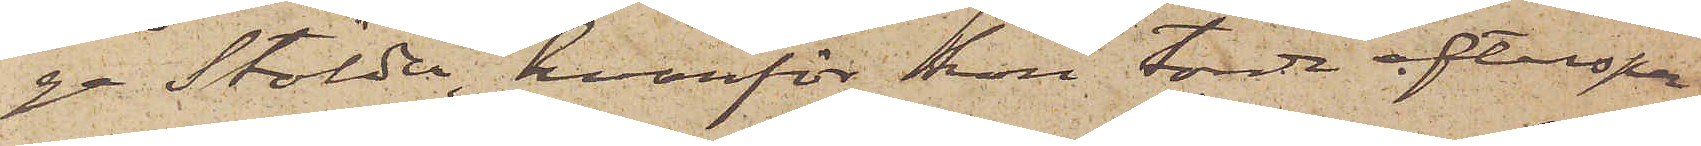ga stölder, hvarför hon, torde efterspa¬
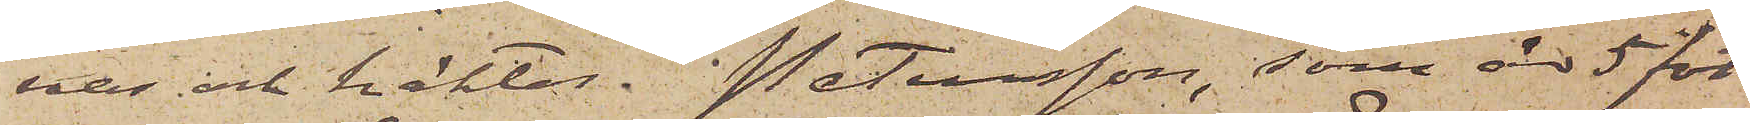nas och häktas. Petersson, som är 5 fot
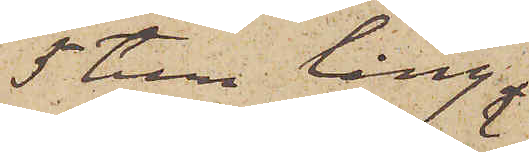5 tum lång
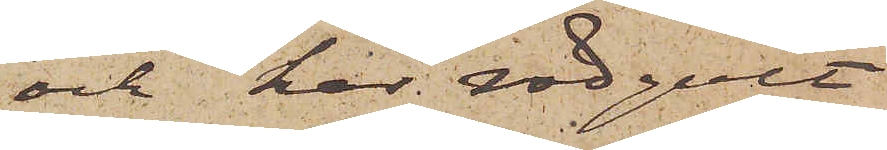och har rödgult
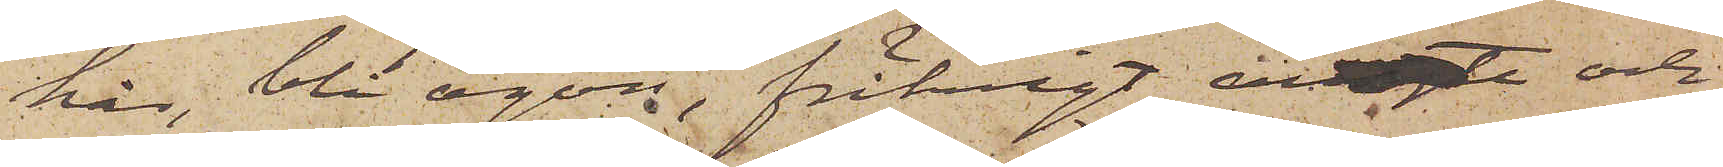hår, blå ögon, fräknigt ansigte och
